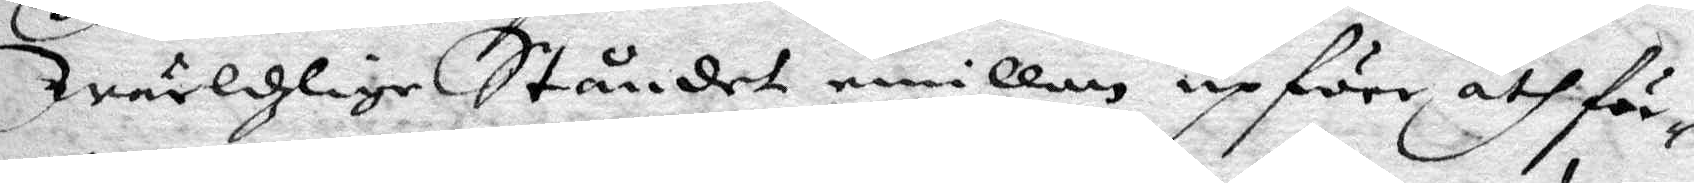wärldzlige Ståndet emillan upföre åthför¬
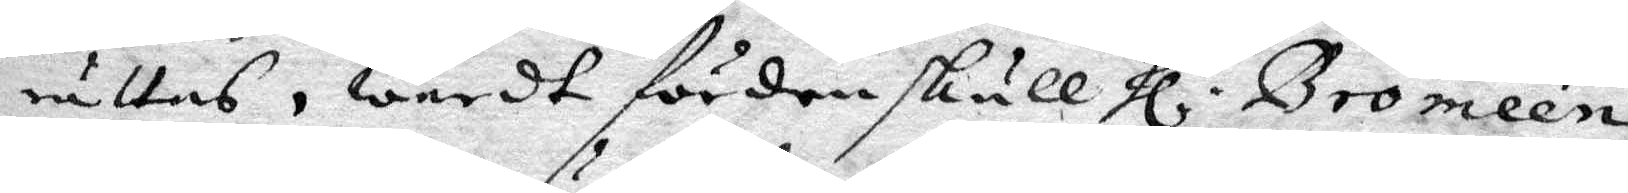rättas, wardt för den skull Hl. Bromeén
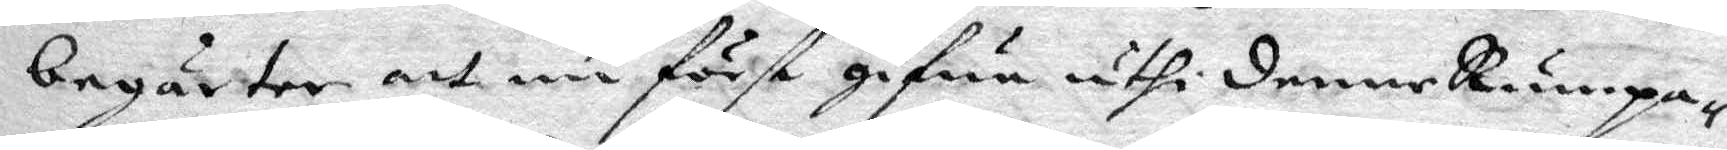begärter att nu först gifwa uthi denne Rumpa¬
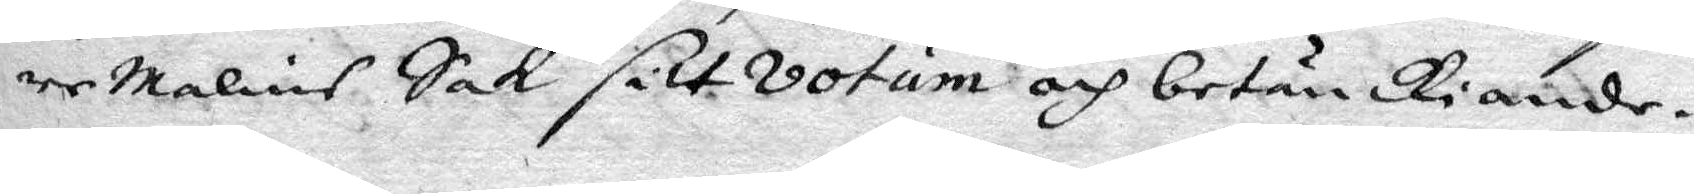re Malins Sak, sitt votum och betänkiande
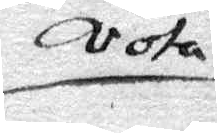vota
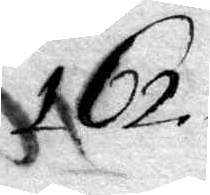162.
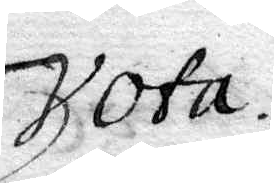Vota.
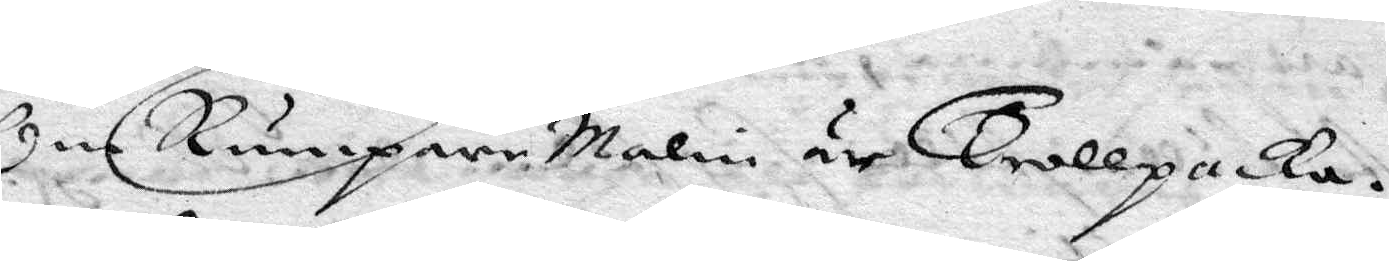Om RumpareMalin är trollpacka.
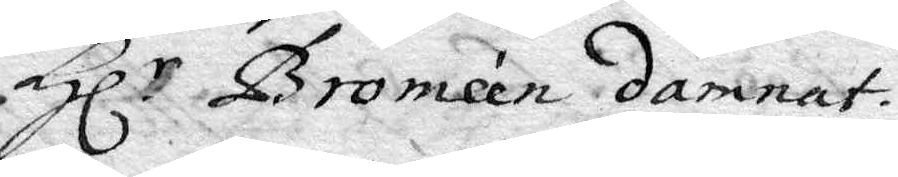Hl. Broméen damnat.
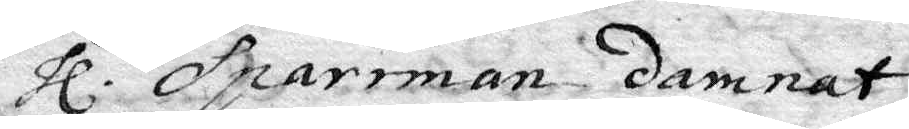hl. Sparrman damnat
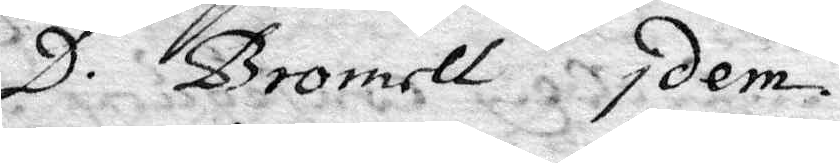D. Bromell Idem
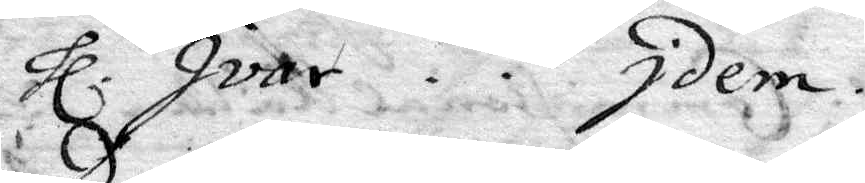hl. Ivar . . Idem
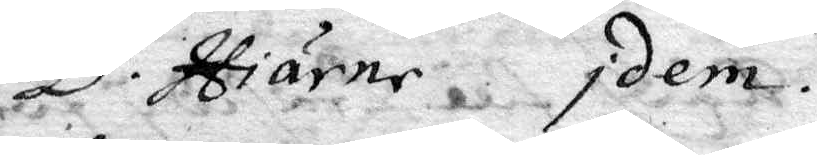D. Hiärne Idem.
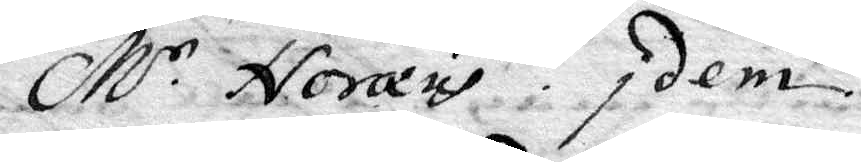M.r Noræus . Idem.
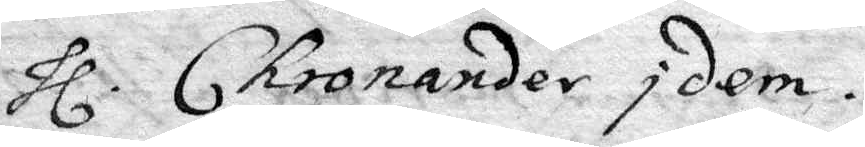hl. Chronader Idem.
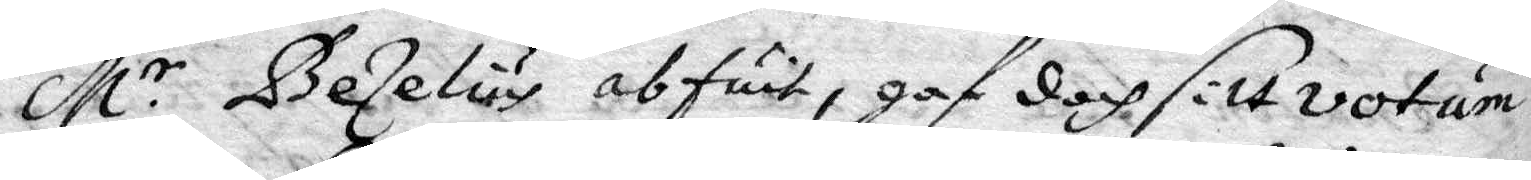M.r Bezelius abfuit, gaf doch sitt votum
